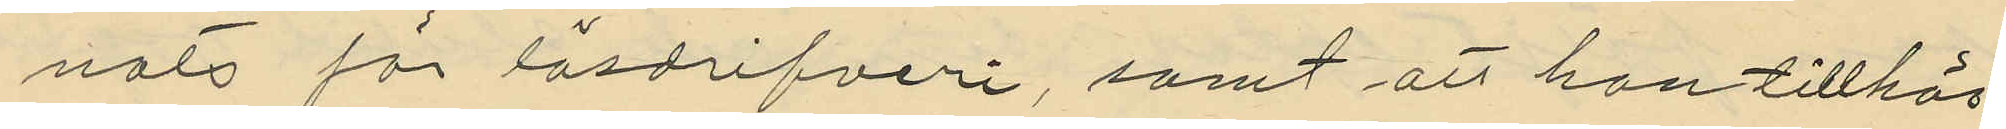nats för lösdrifveri, samt att han tillhör
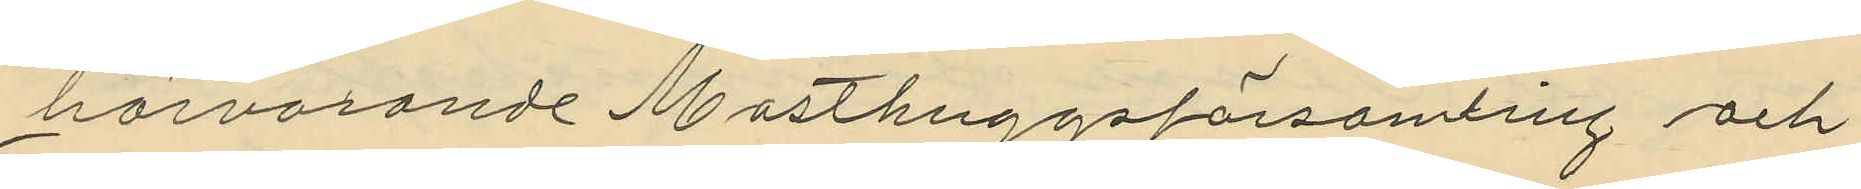härvarande Masthuggsförsamling och
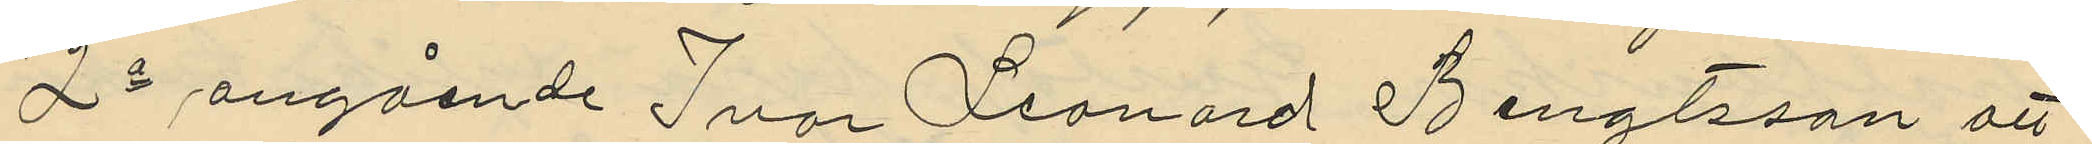2o angående Ivar Leonard Bengtsson att
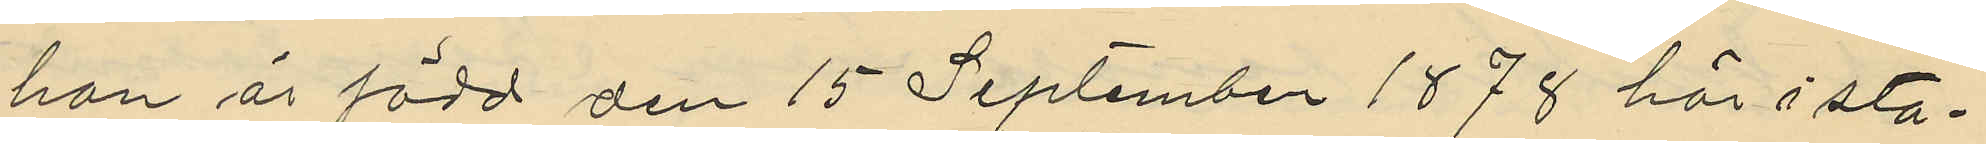han är född den 15 September 1878 här i sta¬
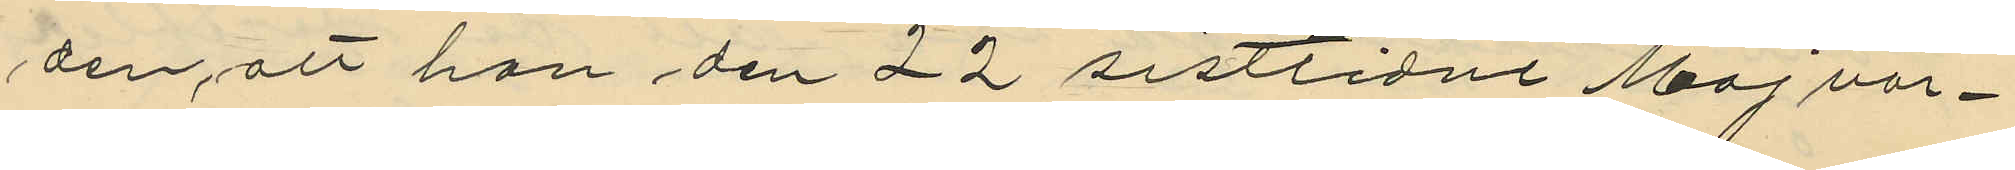den, att han den 22 sistlidne Maj var¬
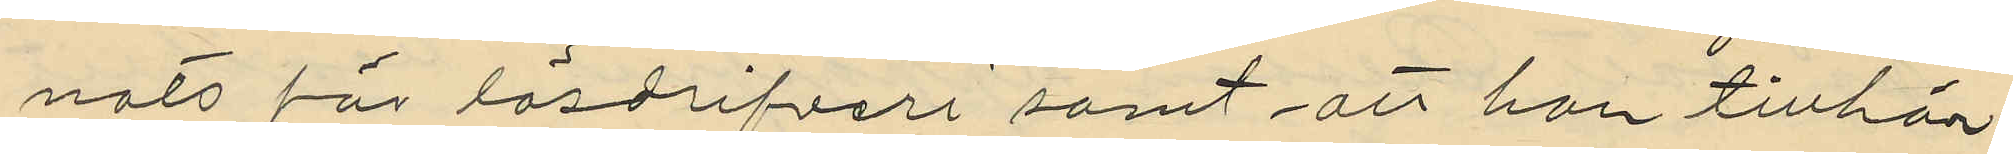nats för lösdrifveri samt att han tillhör
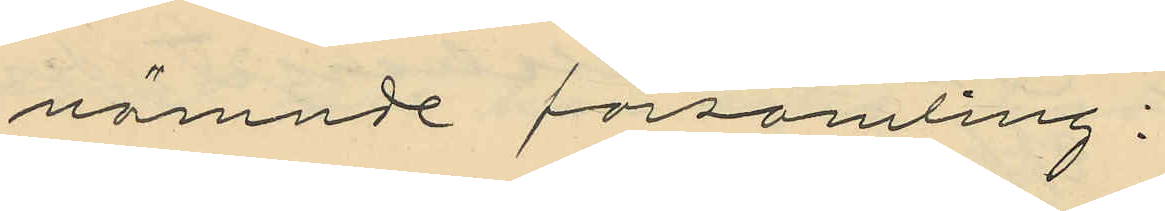nämnde församling;
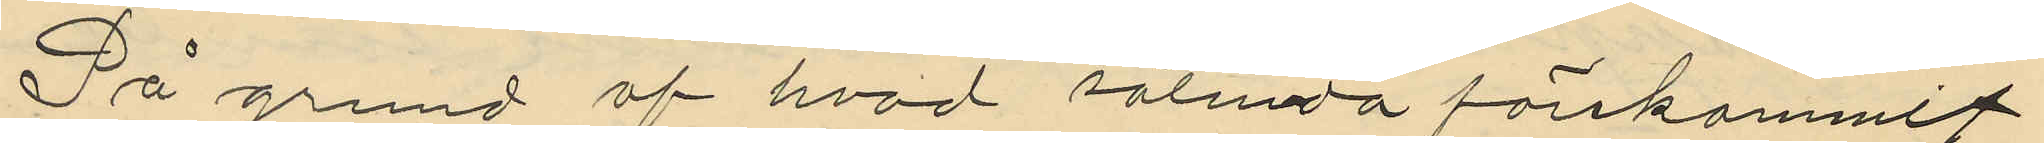På grund af hvad sålunda förekommit
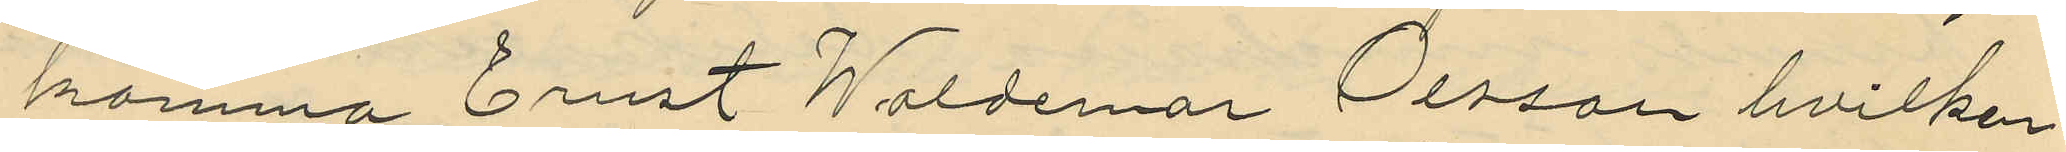komma Ernst Waldemar Olsson hvilken
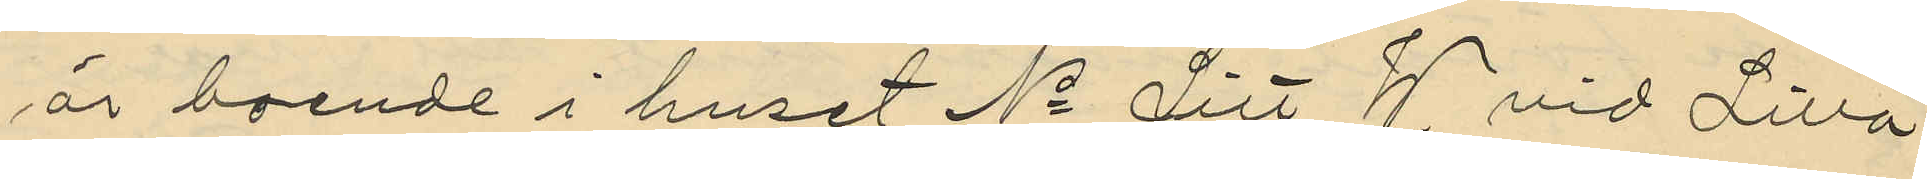är boende i huset No Litt W. vid Lilla
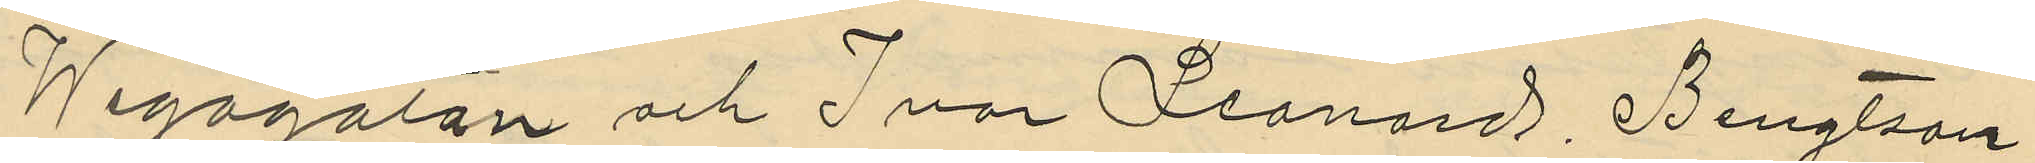Wegagatan och Ivar Leonard Bengtson
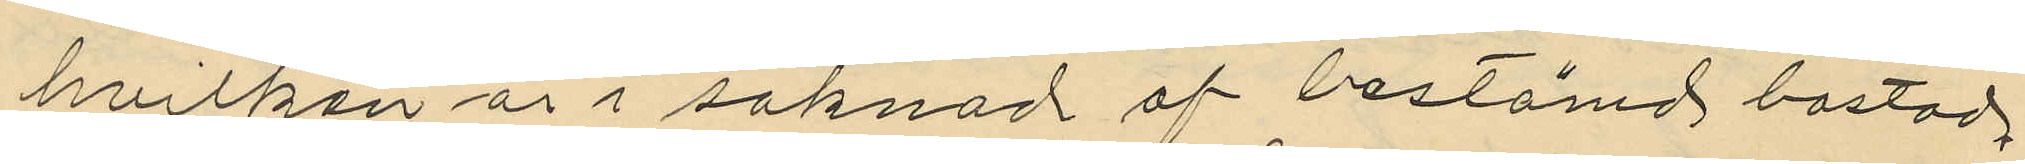hvilken är i saknad af bestämd bostad
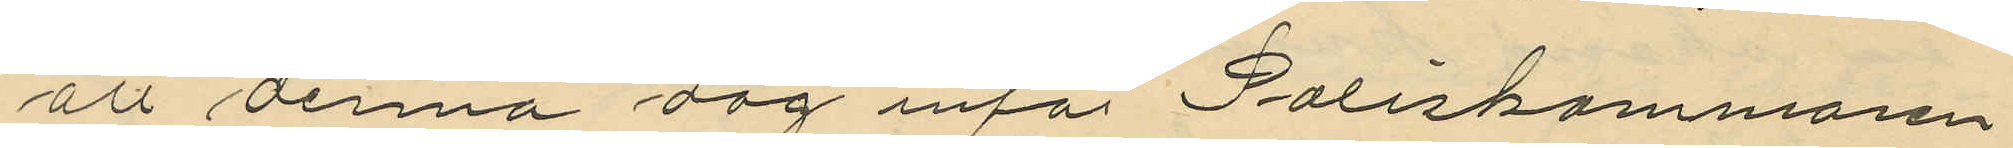att denna dag inför Poliskammaren
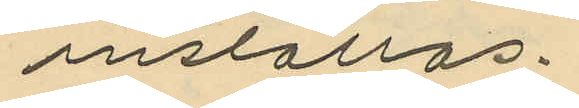inställas.
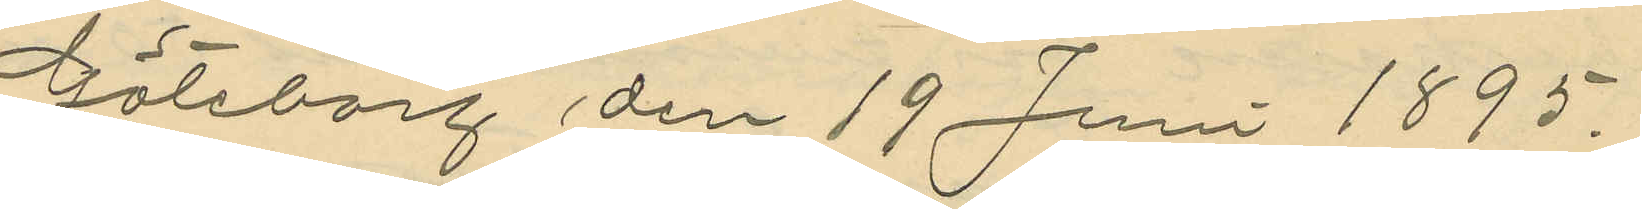Göteborg den 19 Juni 1895.
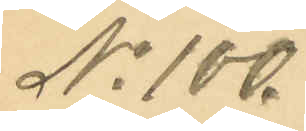No 100.
